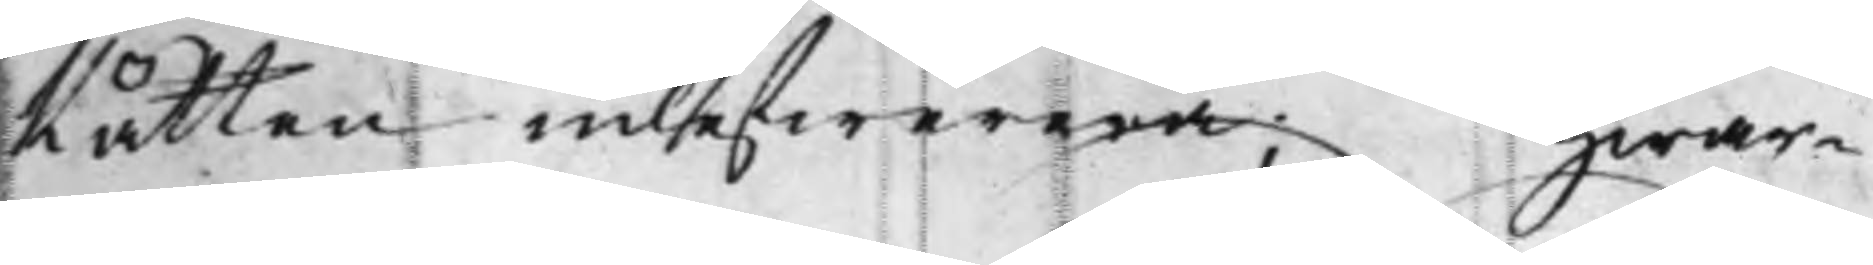Rätten inlefwerera; Hwar¬
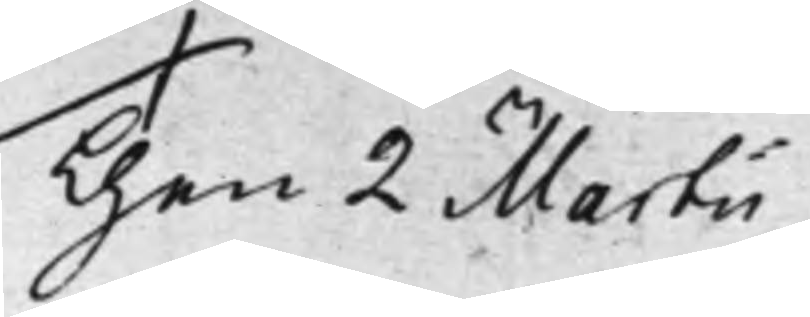Then 2 Martii
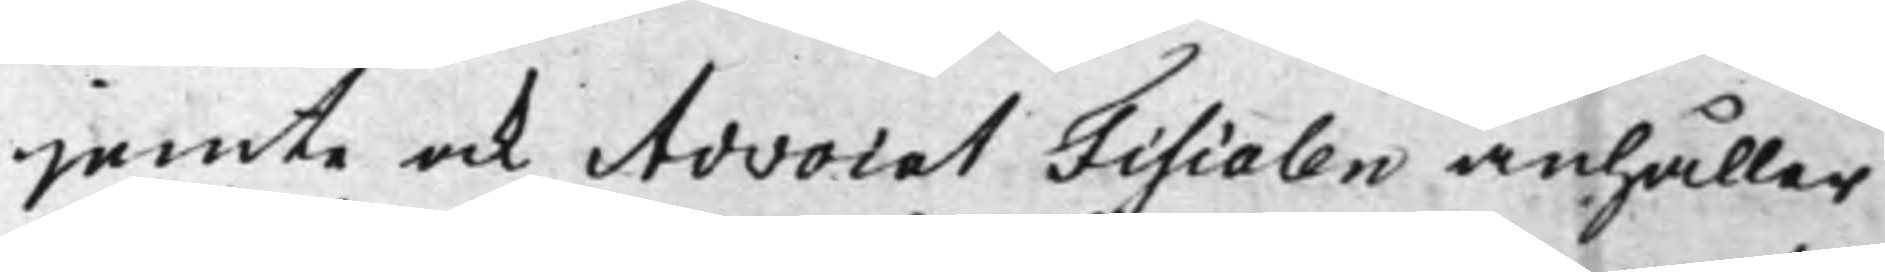jemte ock Advocat Fiscalen anhåller
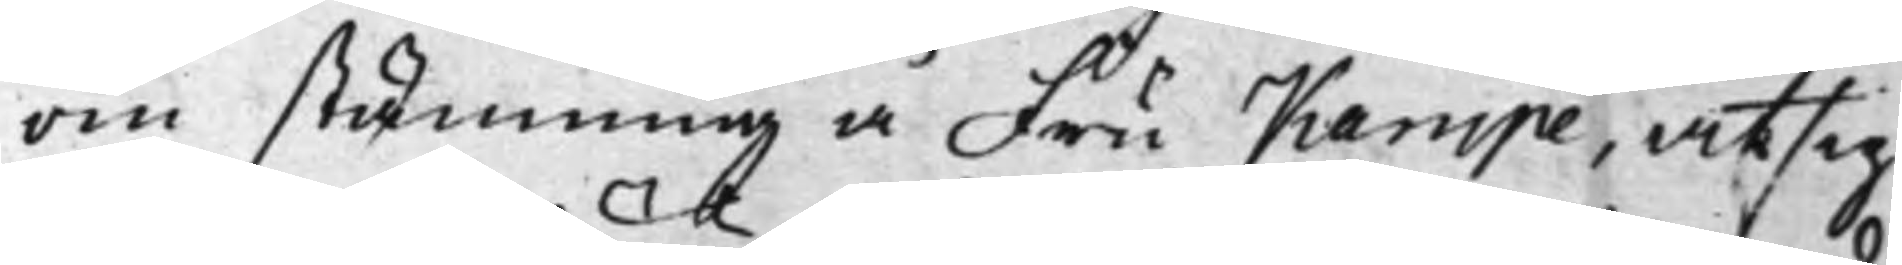om stämning å Fru Kampe, at sig
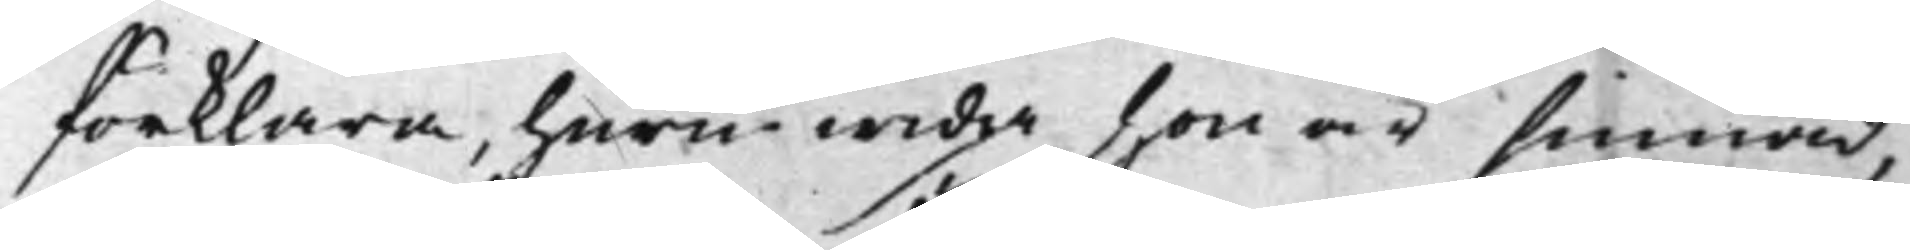förklara huruwida hon är sinnad,
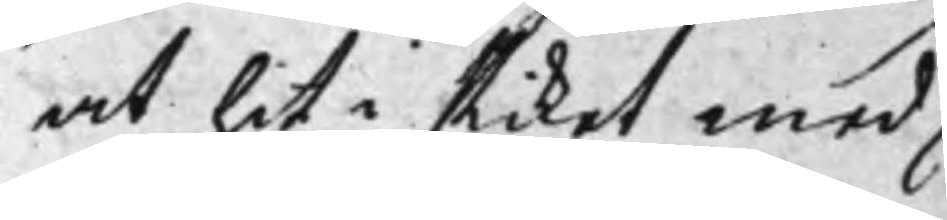at hit i Riket med
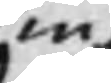wiß
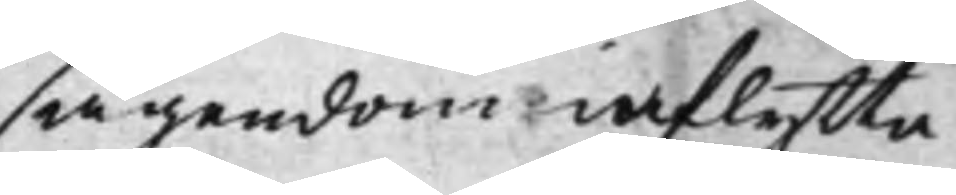ägendom inflytta
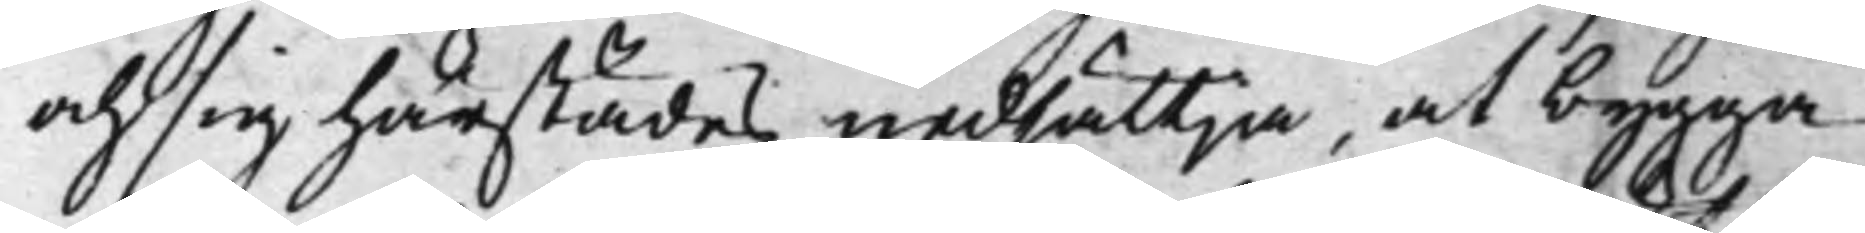och sig härstädes nedsättja, at bygga
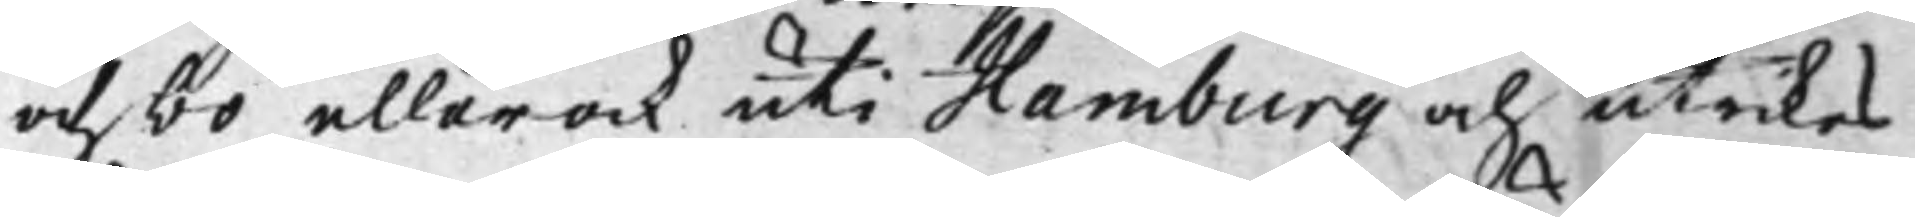och bo, eller ock uti Hamburg och utrikes
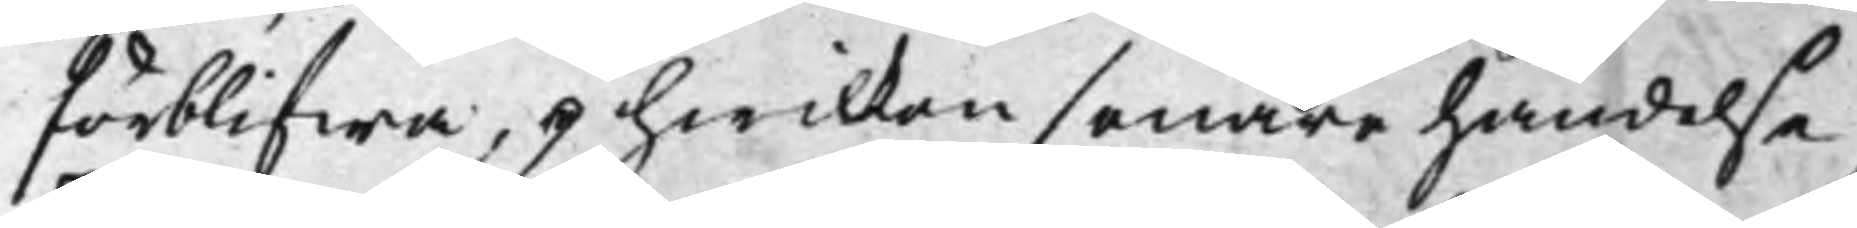förblifwa, i hwilken senare händelse,
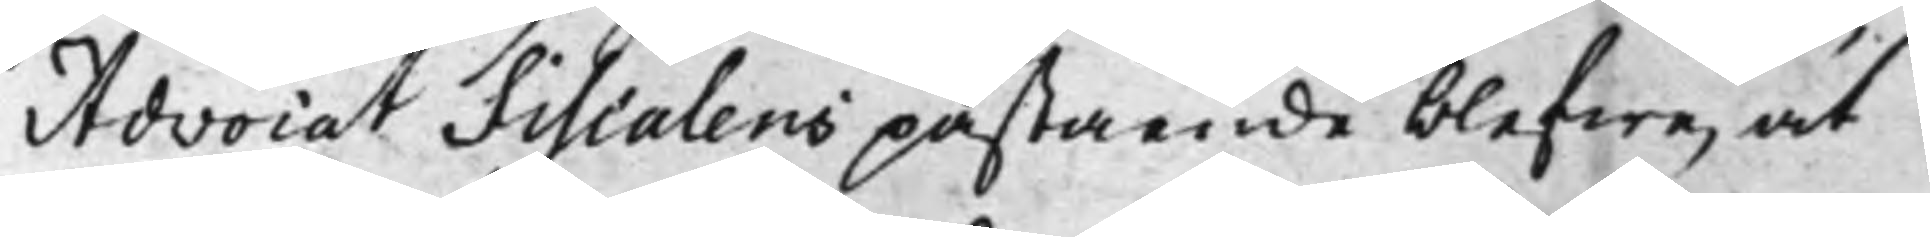Advocat Fiscalens påstående blefwe, at
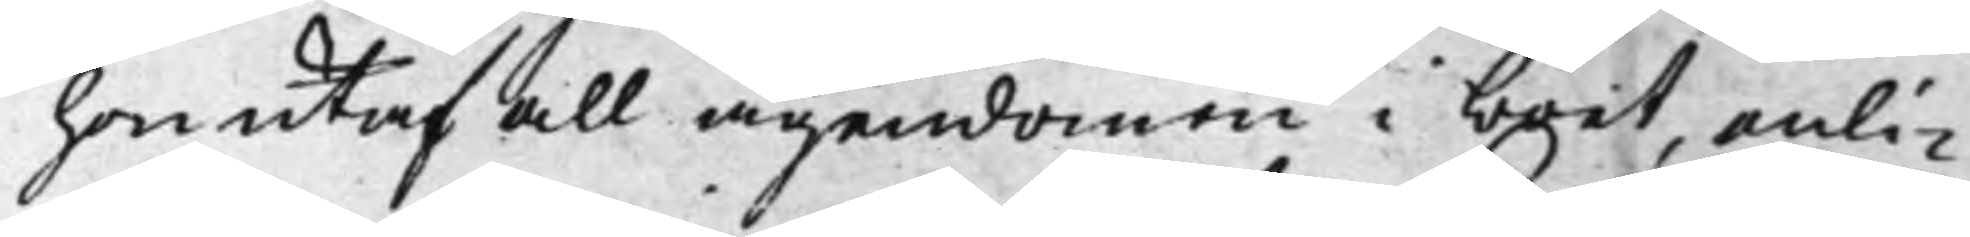hon utaf all ägendomen i boet, enli¬
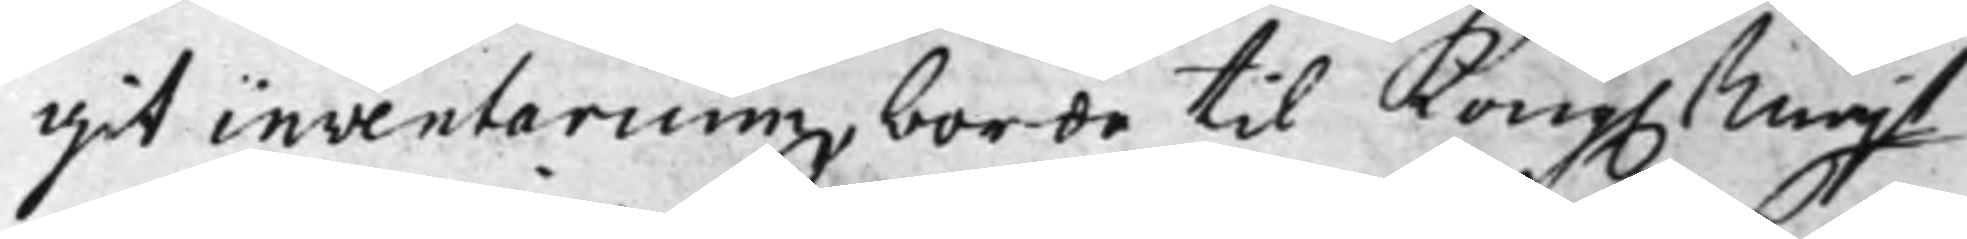git inventarium, borde til Kong. Majt
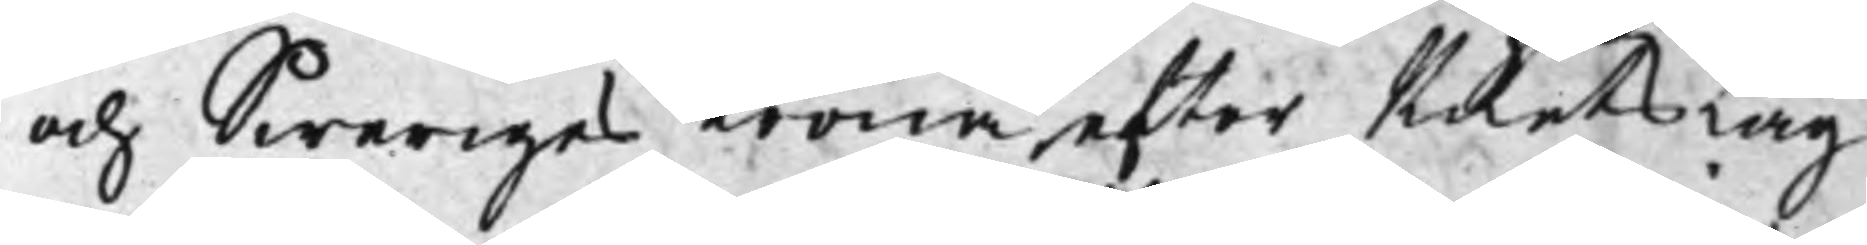och Sweriges Krona efter Rikets Lag
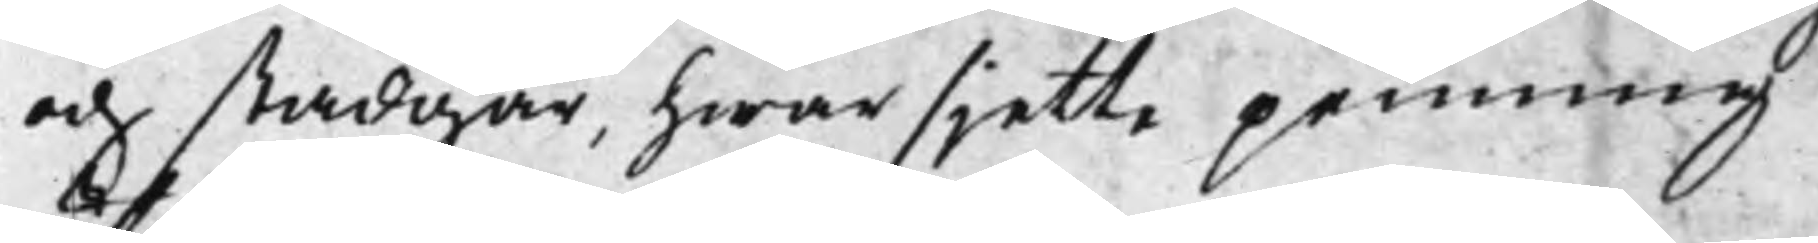och stadgar, hwar sjette penning
